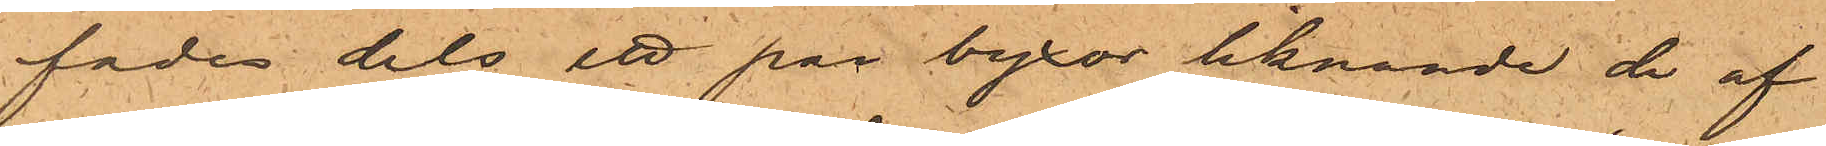fades dels ett par byxor liknande de af
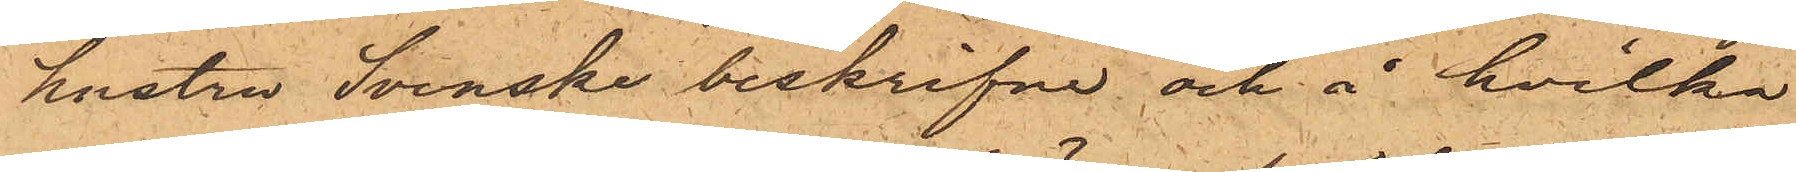hustru Svenska beskrifne och å hvilka
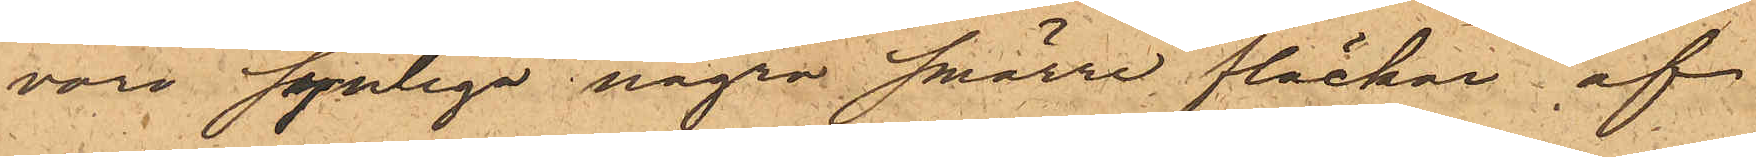voro synliga några smärre fläckar af
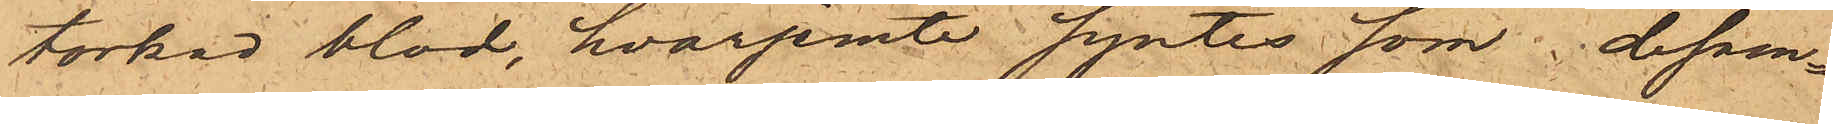torkat blod, hvarjemte syntes som desam¬
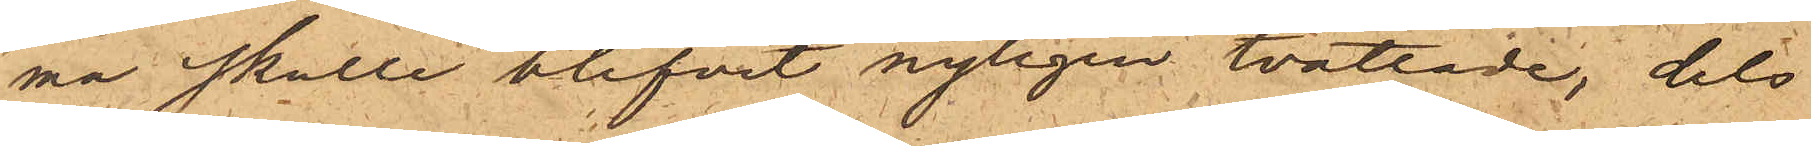ma skulle blifvit nyligen tvättade, dels
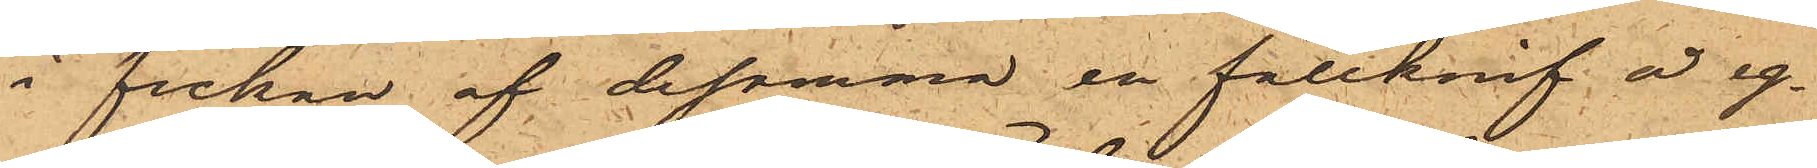i fickan af desamma en fällkniv å eg¬
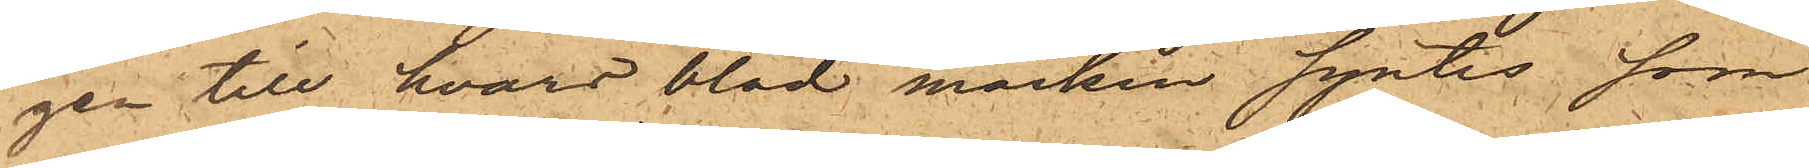gen till hvars blad märken syntes som
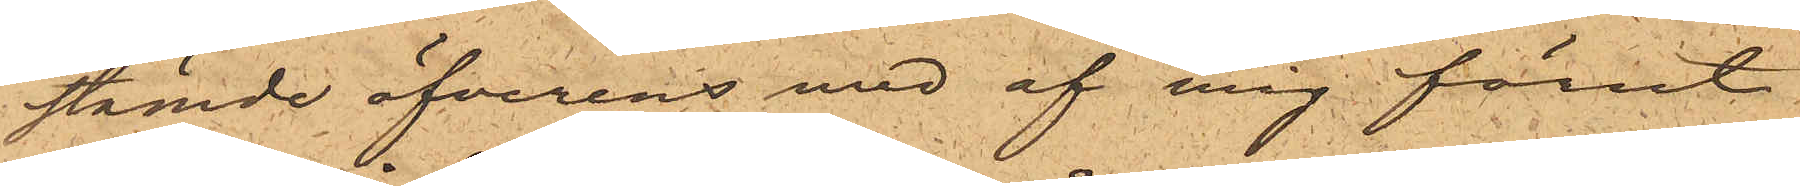stämde öfverens med af mig förut
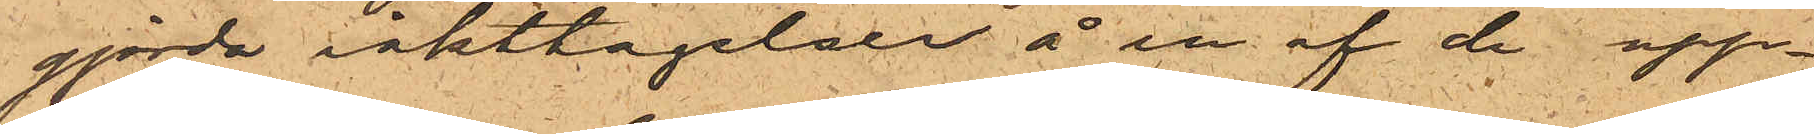gjorda iakttagelser å en af de upp¬
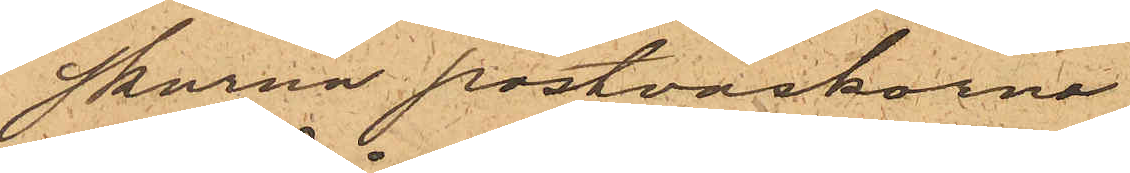skurna postväskorna.
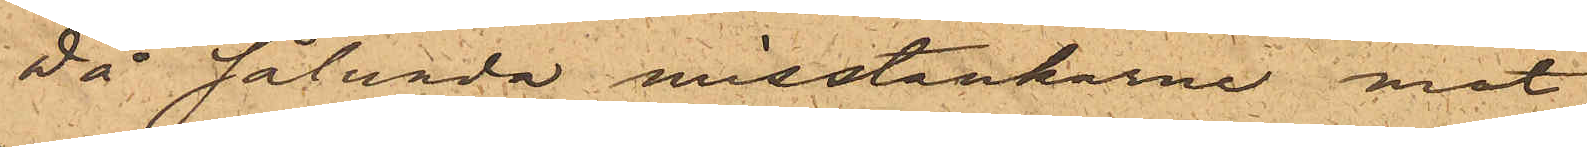Då sålunda misstankarne mot
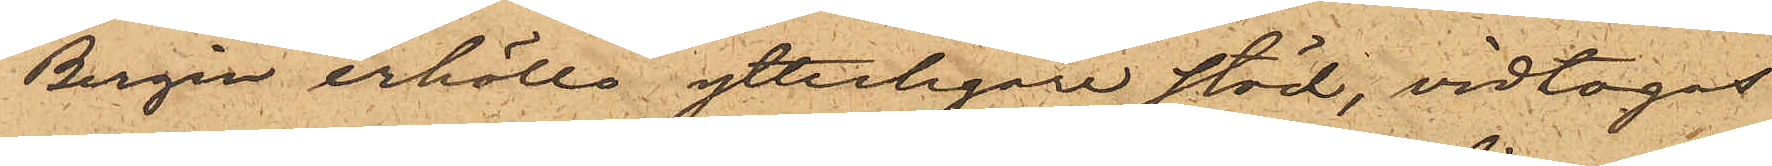Bergin erhöllo ytterligare stöd, vidtogos
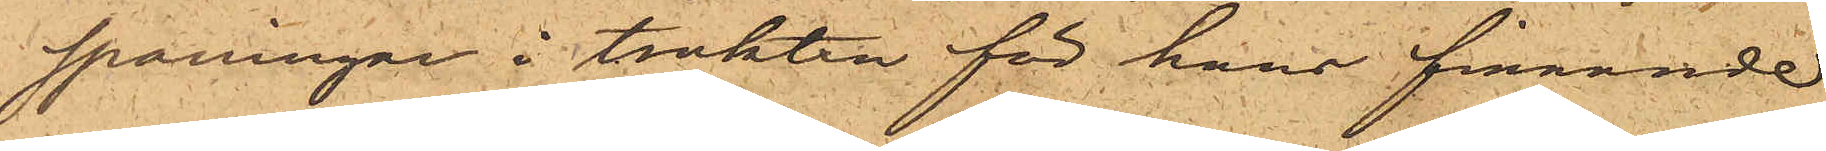spaningar i trakten för hans finnande
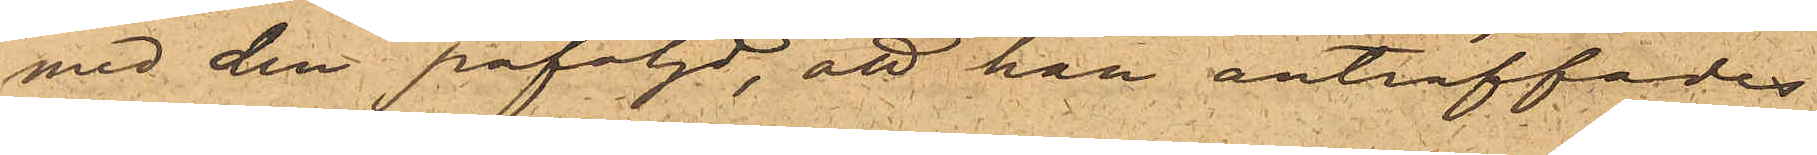med den påföljd, att han anträffades
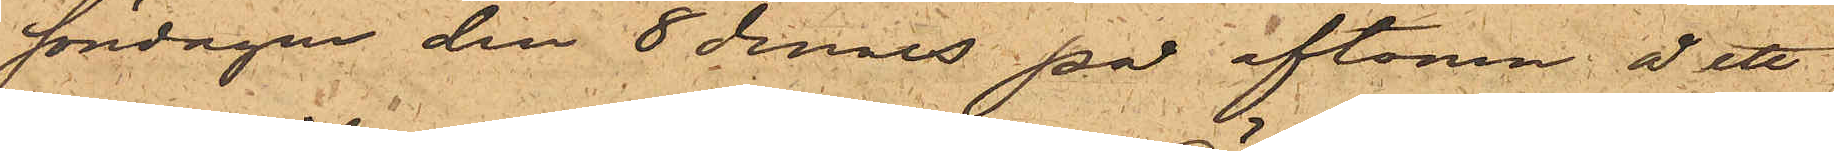söndagen den 8 dennes på aftonen å ett
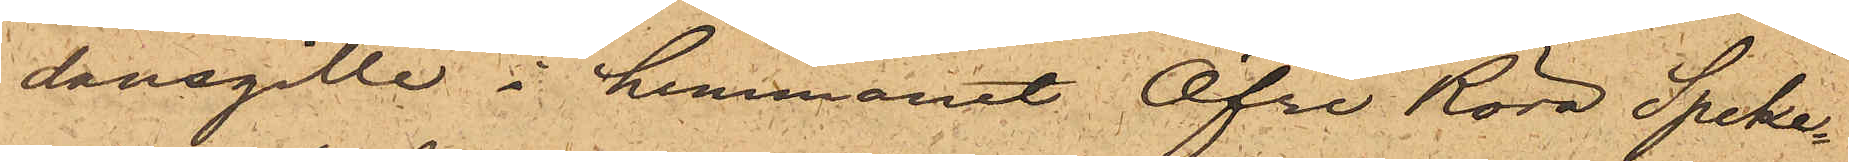dansgille i hemmanet Öfre Röra Speke¬
